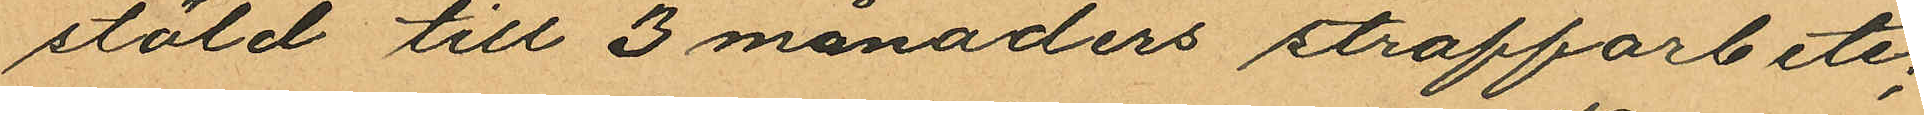stöld till 3 månaders straffarbete;
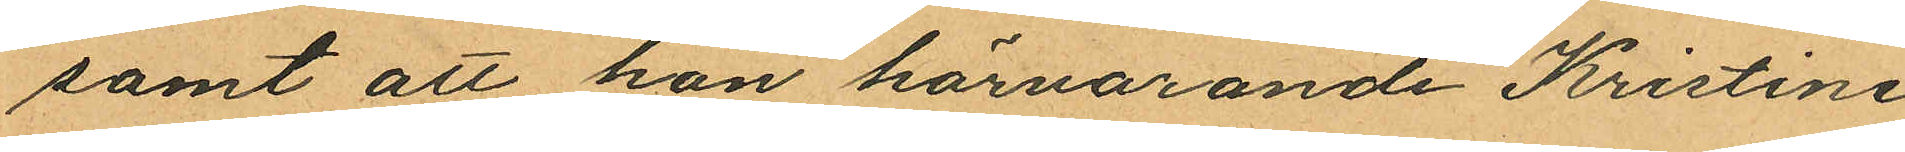samt att hon härvarande Kristine
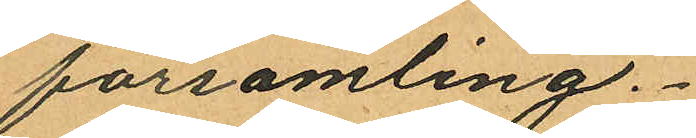församling.
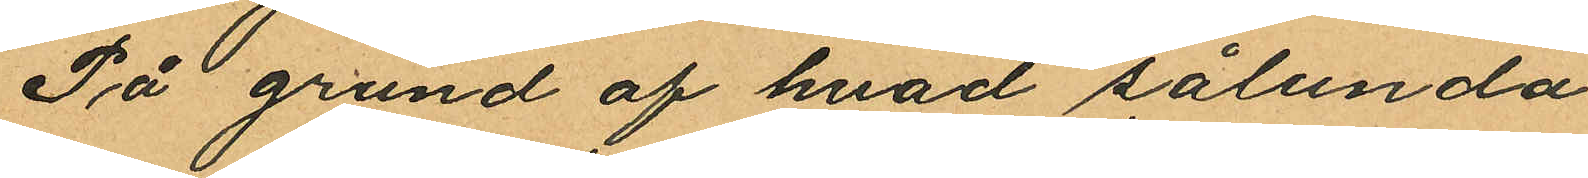På grund af hvad sålunda
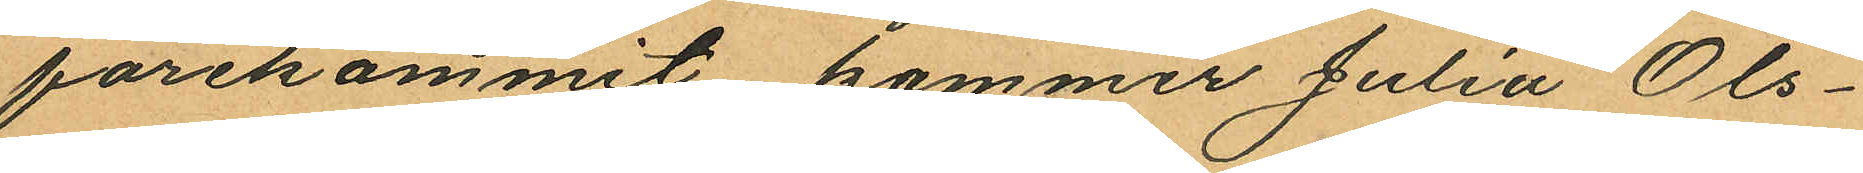förekommit kommer Julia Ols¬
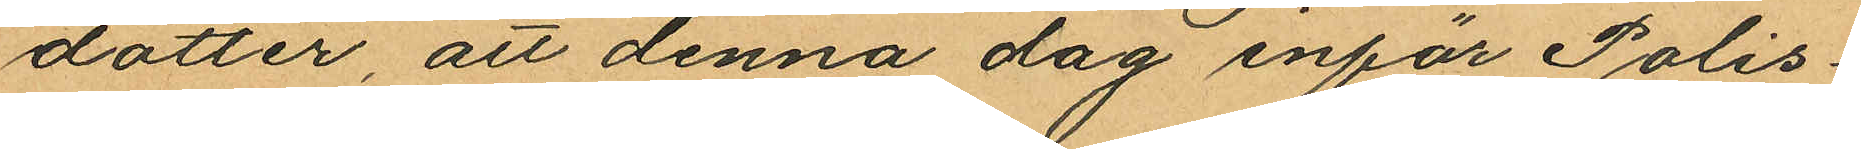dotter, att denna dag inför Polis¬
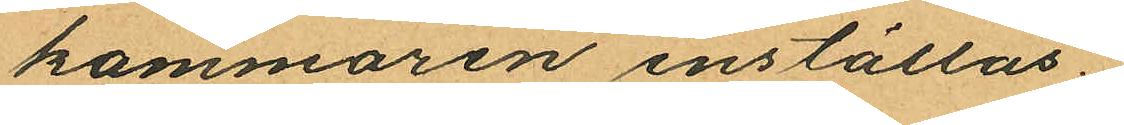kammaren inställas.
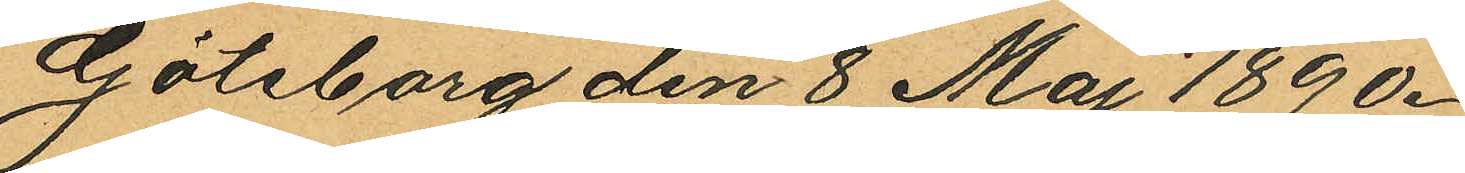Göteborg den 8 Maj 1890.
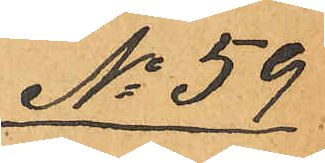No 59
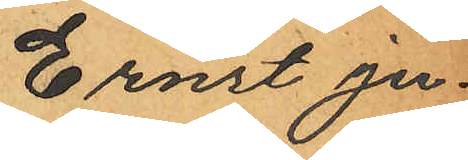Ernst Ju¬
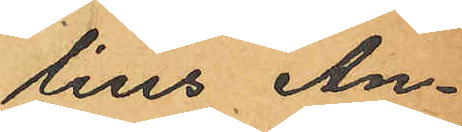lius An¬
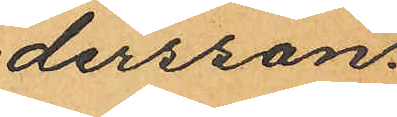dersson.
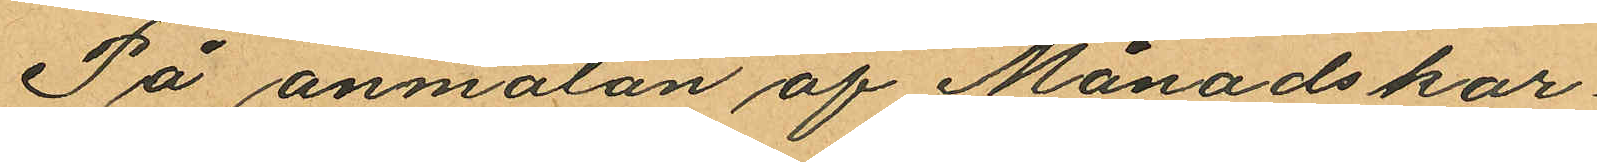På anmälan af Månadskar¬
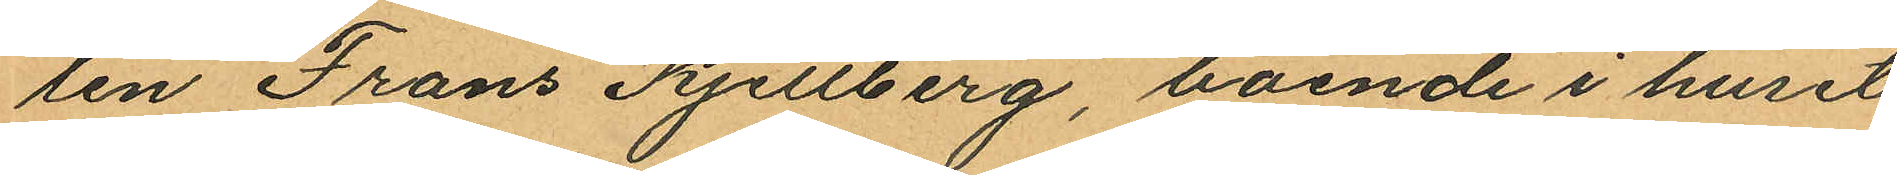len Frans Kjellberg, boende i huset
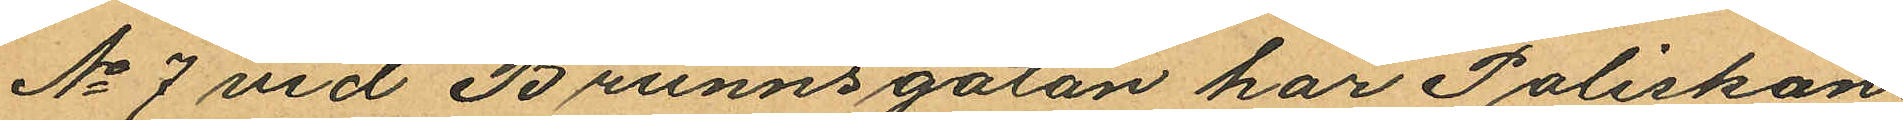No 7 vid Brunnsgatan har Poliskon¬
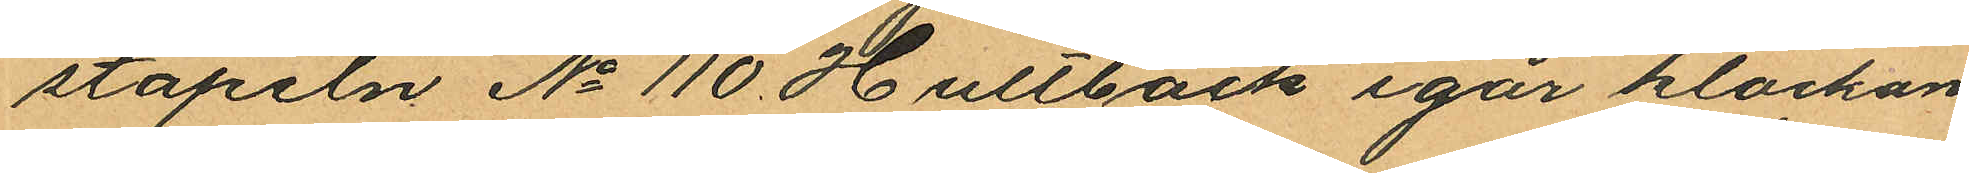stapeln No 110 Hultbäck igår klockan
